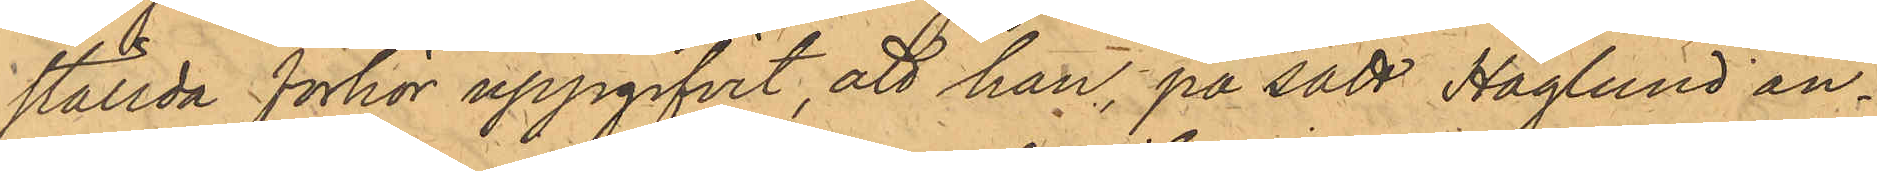ställda förhör uppgifvit, att hon, på sätt Haglund an¬
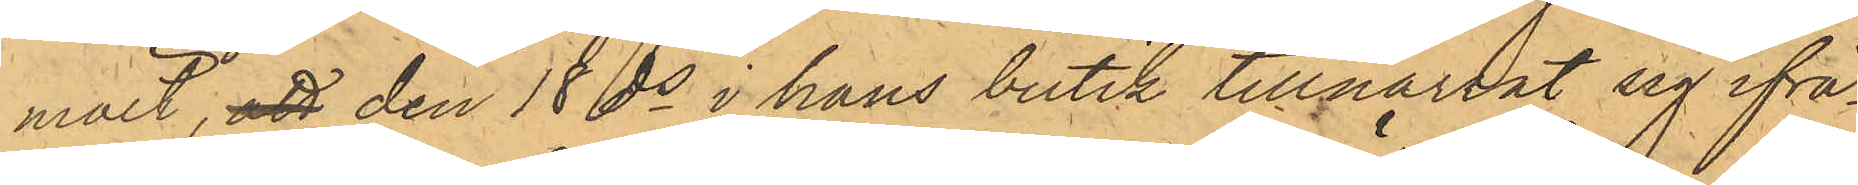mält, att den 18 ds i hans butik tillnarrat sig ifrå¬
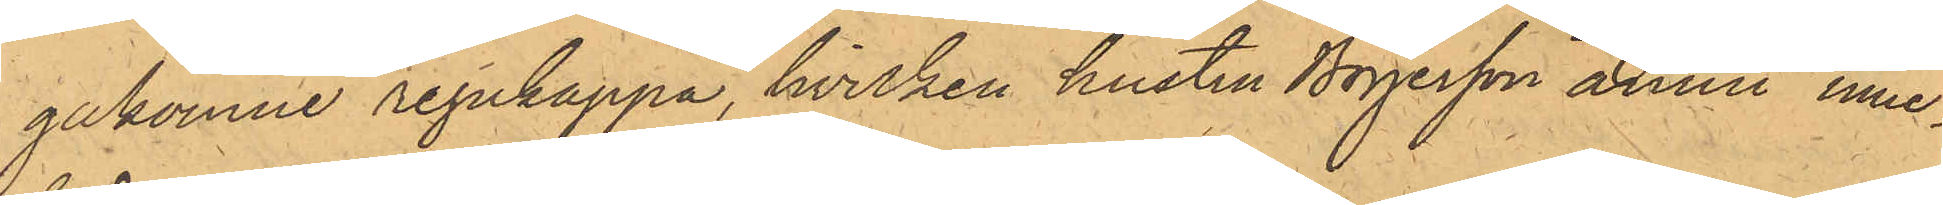gakomne regnkappa, hvilken hustru Böjesson ännu inne¬
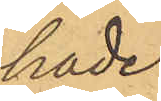hade.
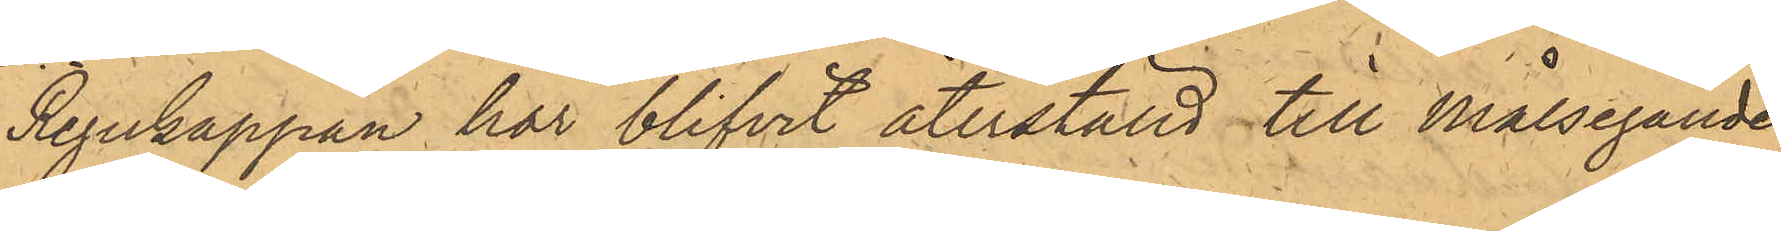Regnkappan har blifvit återstäld till Målsegande¬
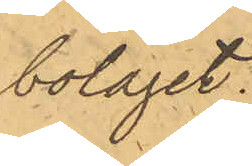bolaget.
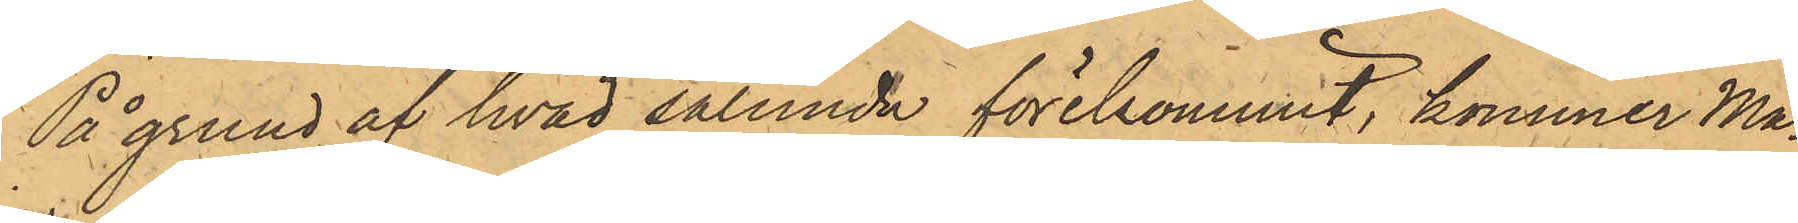På grund af hvad sålunda förekommit, kommer Ma¬
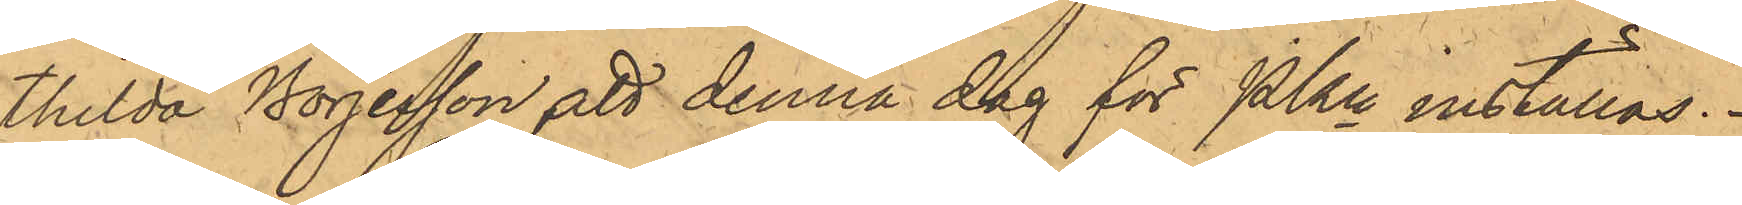thilda Börjesson att denna dag för PKn inställas.
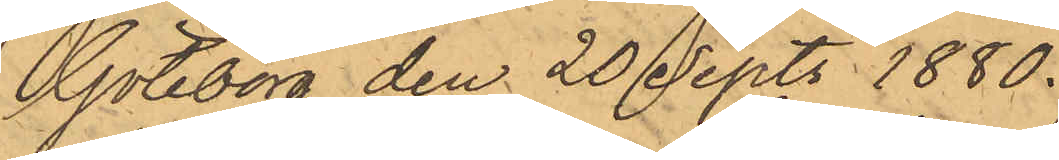Göteborg den 20 Sept. 1880.
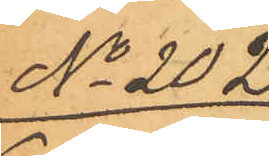No 202.
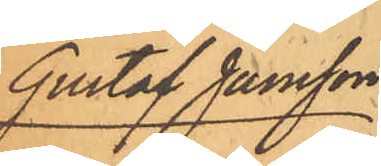Gustaf Jansson
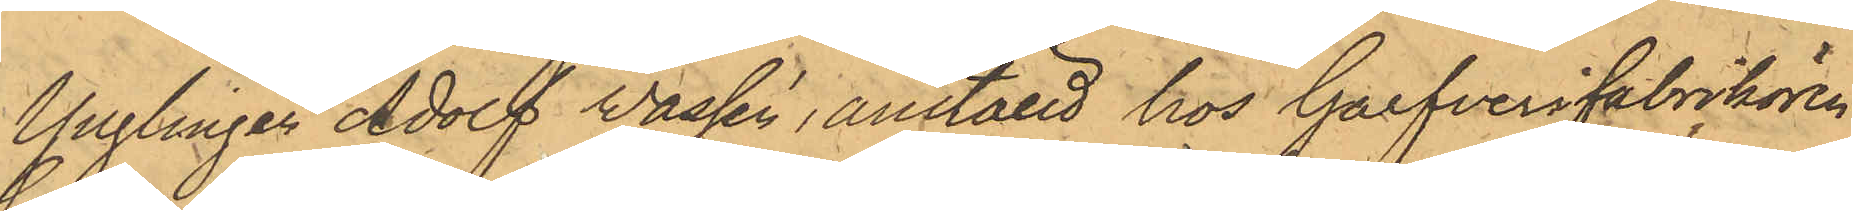Ynglingen Adolf Wassén, anställd hos Garfverifabrikören
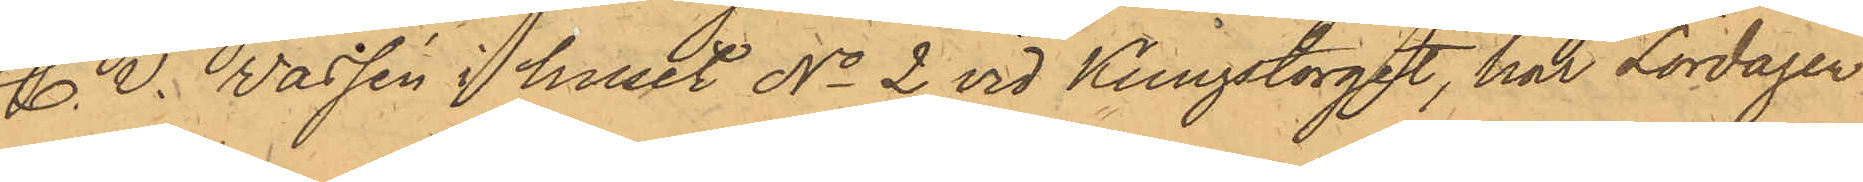C. V. Vassén i huset No 2 vid Kungstorget, har Lördagen
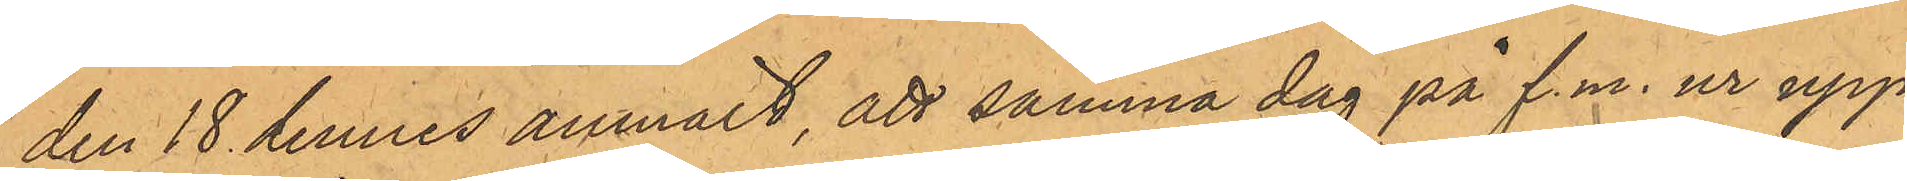den 18 dennes anmält, att samma dag på f.m. ur upp¬
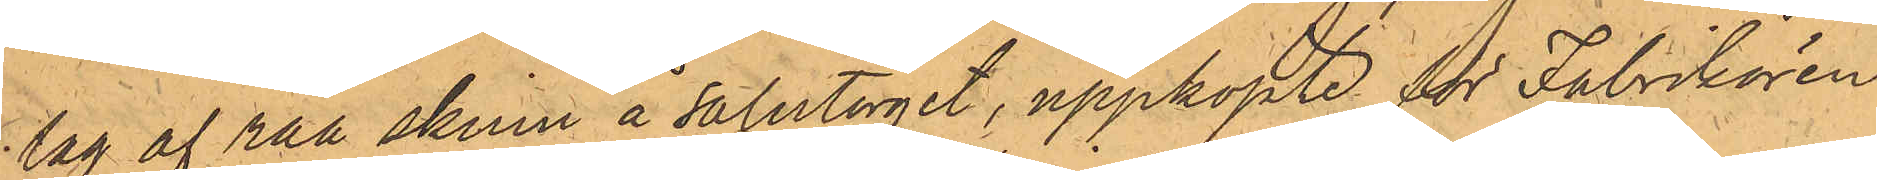lag af råa skinn å salutorget, uppköpte för Fabrikören
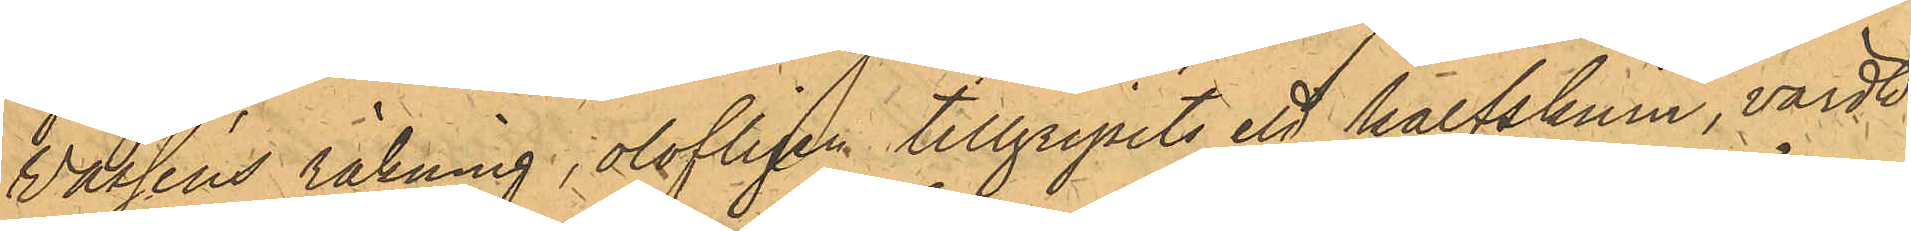Vasséns räkning, olofligen tillgripits ett kalfskinn, värdt
